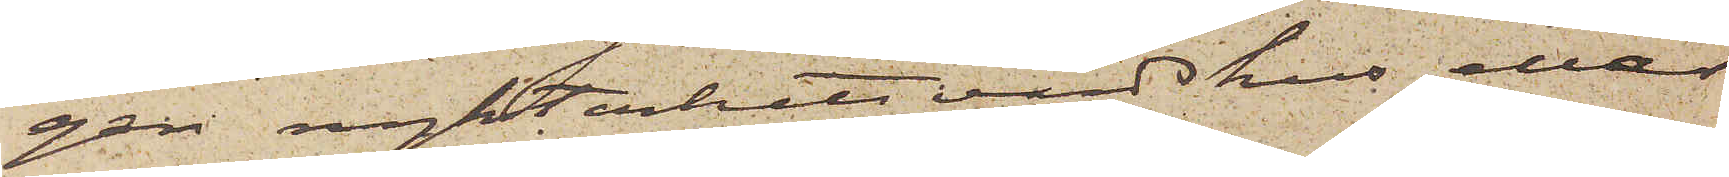gen nykterhetsvärdshus eller
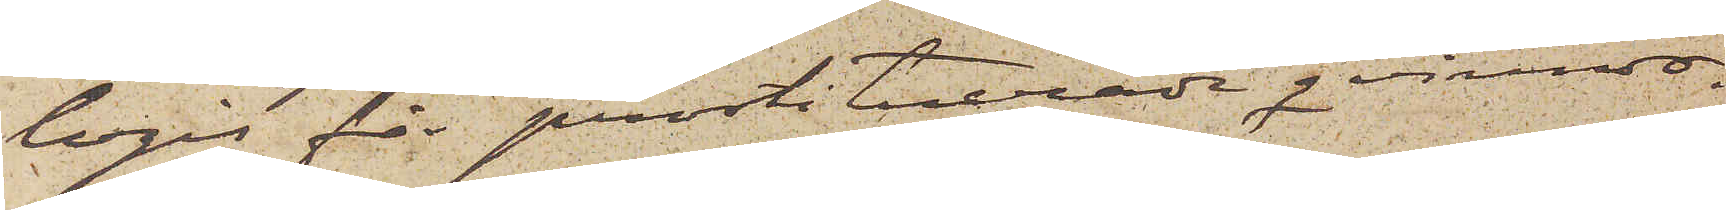logis för prostituerade qvinnor.
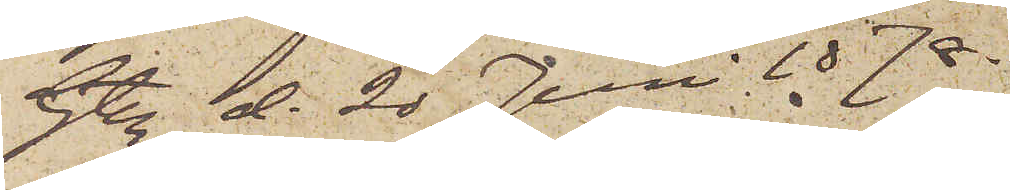Gtbg d. 20 Juni 1878.
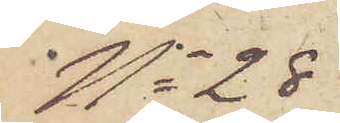No 28
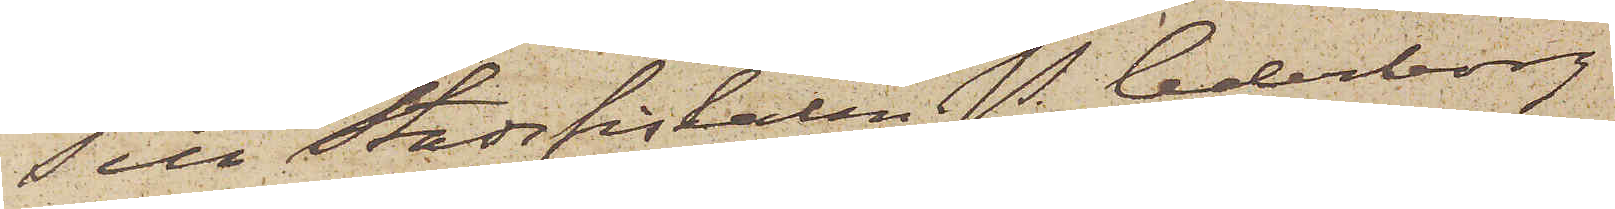Till Stadsfiskalen P. Cederborg
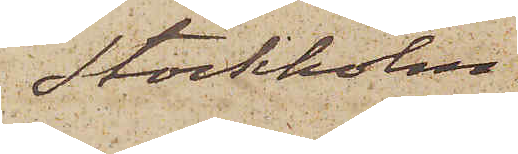Stockholm.
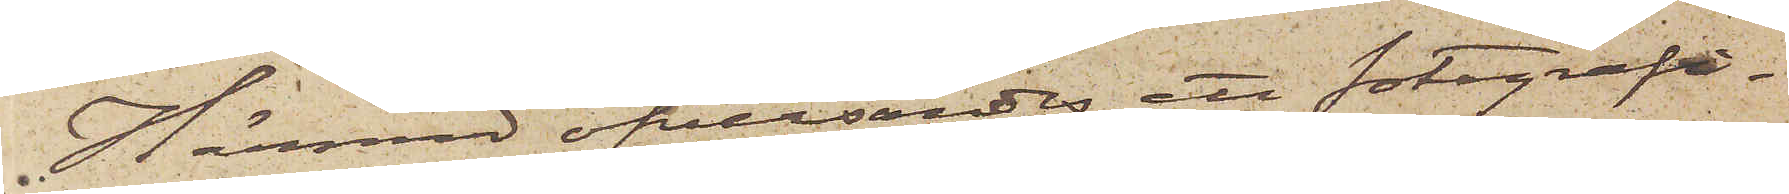Härmed öfversändes ett fotografi¬
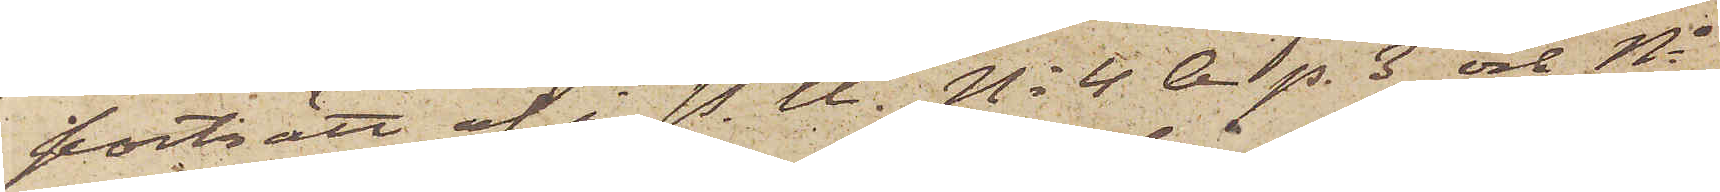porträtt af i P. U. No 4. A p. 3 och No
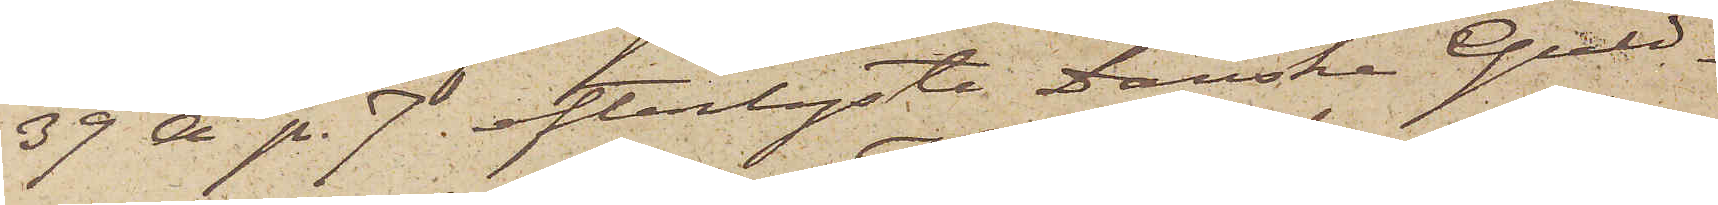39 A p. 7 efterlyste Danska Guld¬
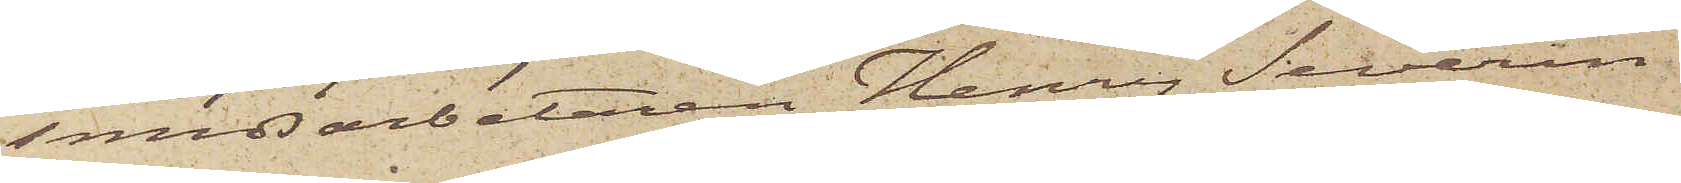smedsarbetaren Henry Severin
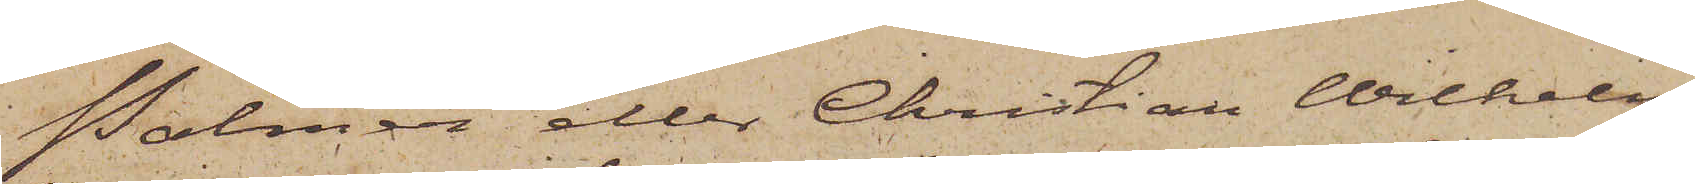Palmér eller Christian Wilhelm
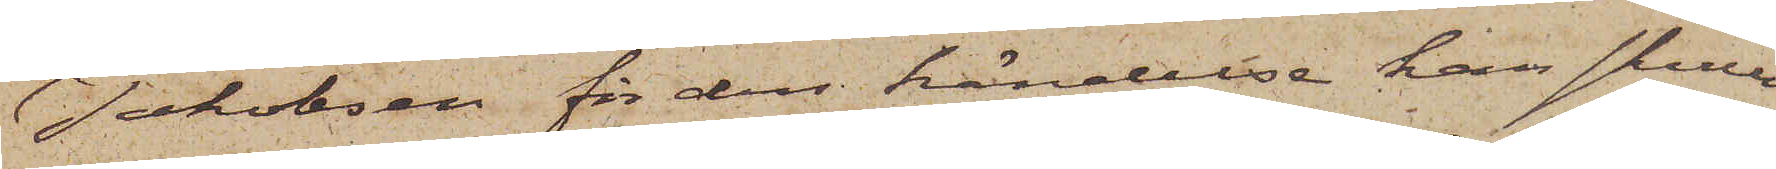Jakobsen för den händelse han skulle
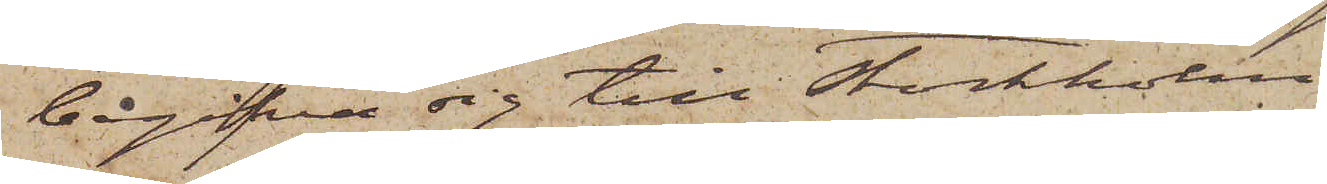begifva sig till Stockholm
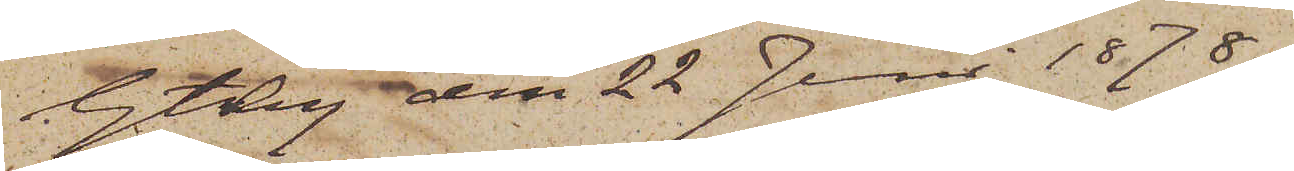Gtbg den 22 Juni 1878.
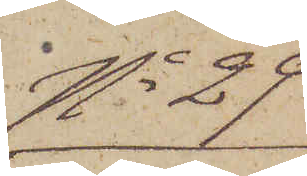No 29
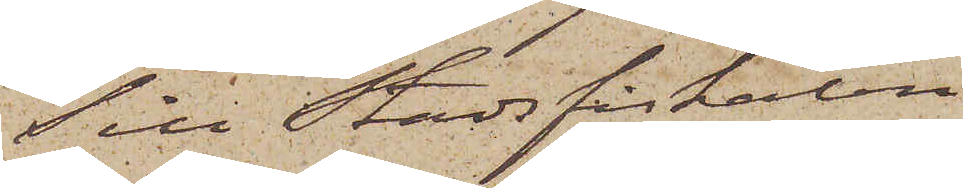Till Stadsfiskalen i
